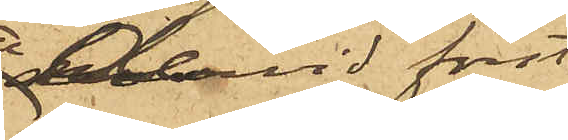dervid först
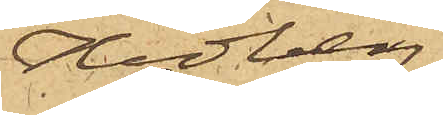Hedberg
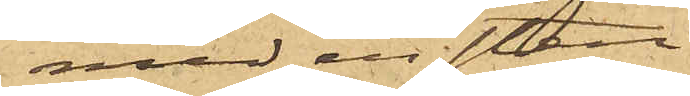med en sten
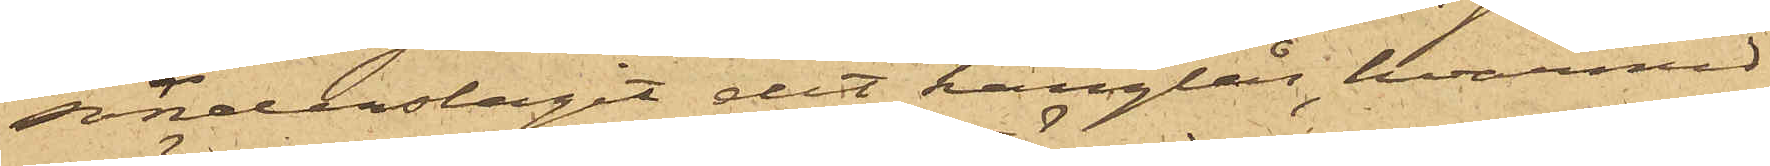sönderslagit det hänglås, hvarmed
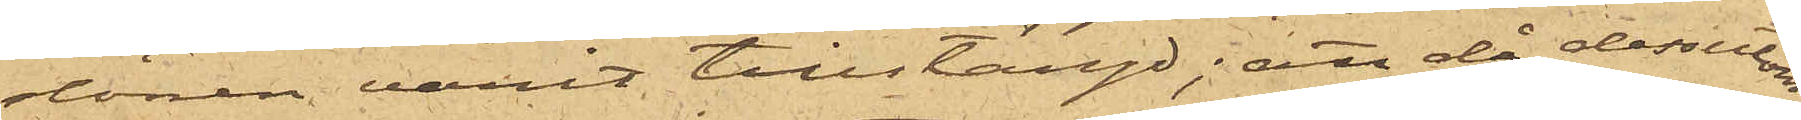dörren varit tillstängd; att då dessutom
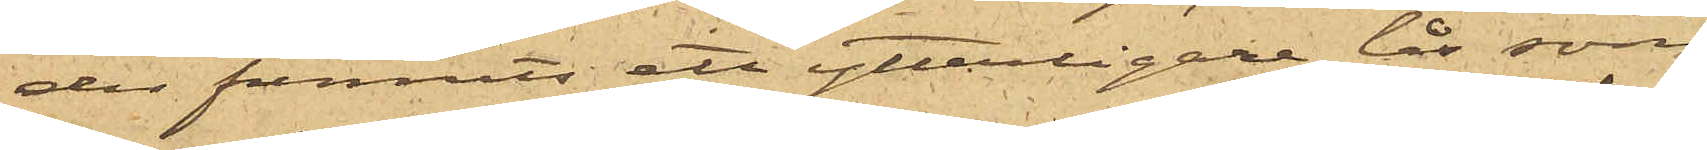der funnits ett ytterligare lås som
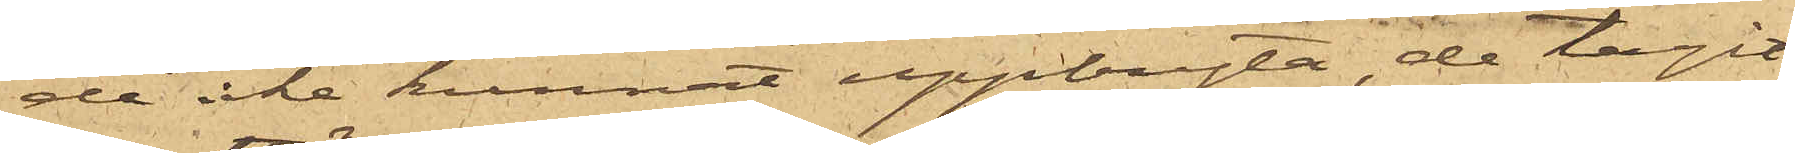de icke kunnat uppbryta, de tagit
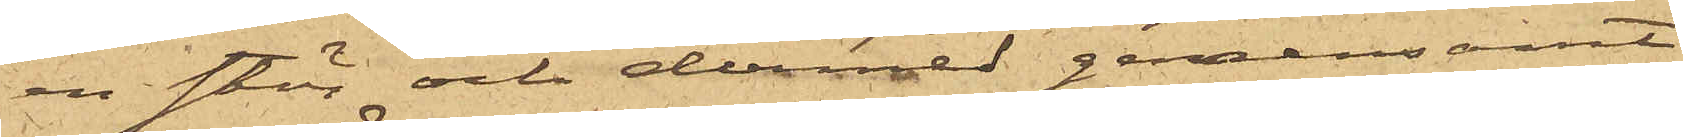en stör och dermed gemensamt
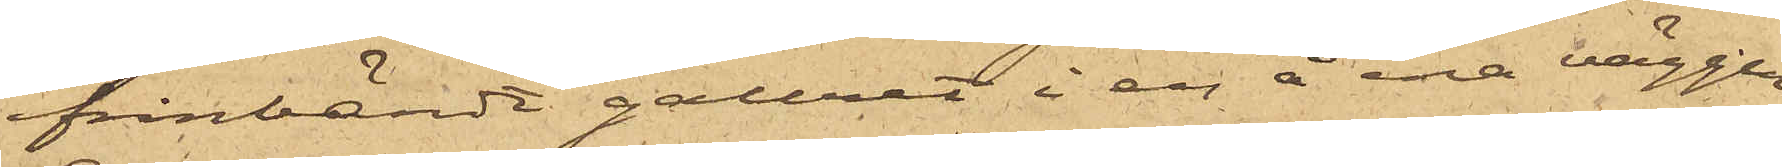frånbändt gallret i en å ena väggen
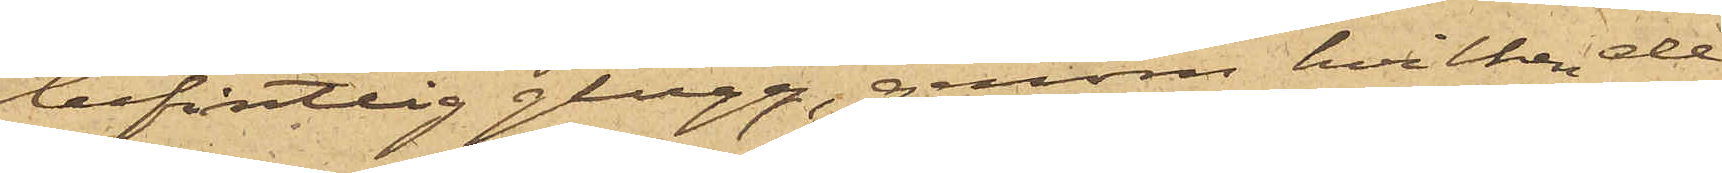befintlig glugg, genom hvilken de
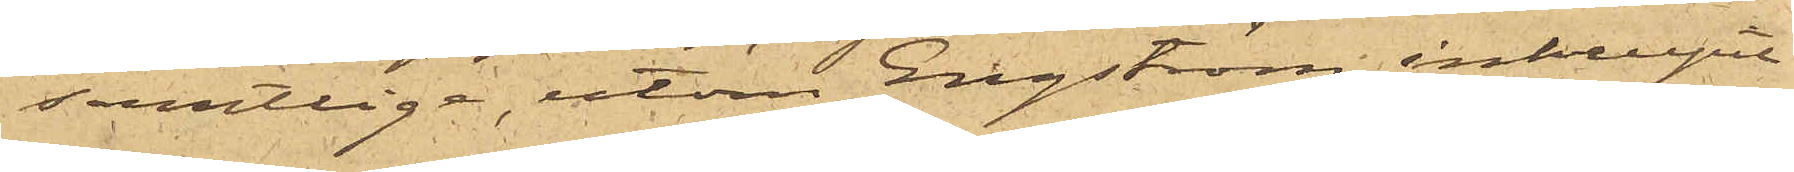samtlige, utom Engström, inkrupit
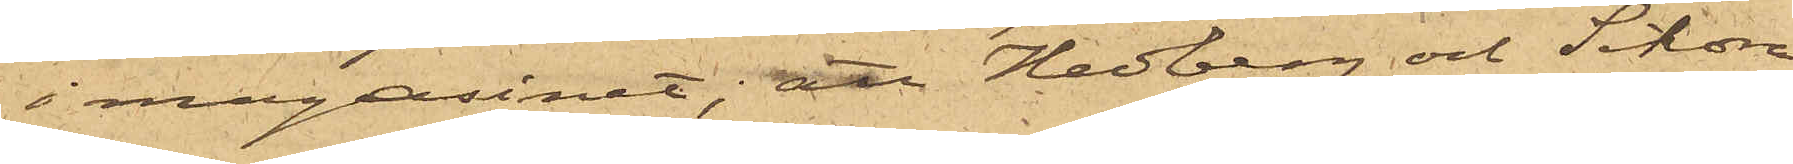i magasinet; att Hedberg och Sikora
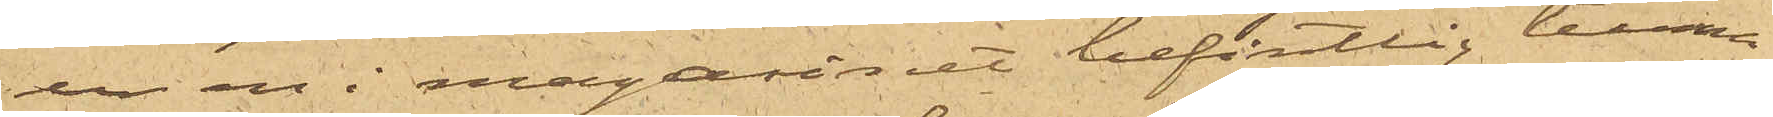ur en i magasinet befintlig tunna
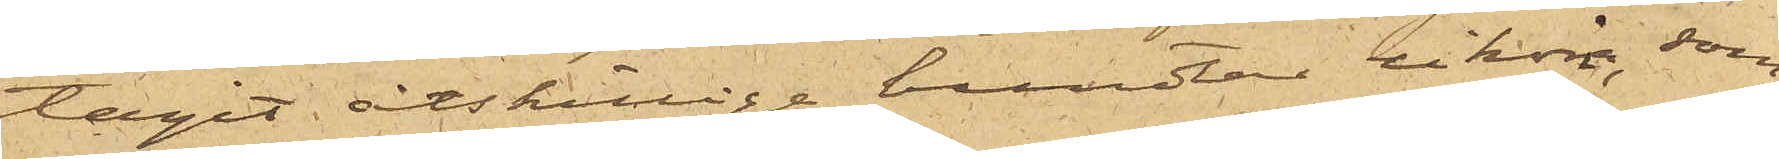tagit åtskillige bundtar cikoria, som
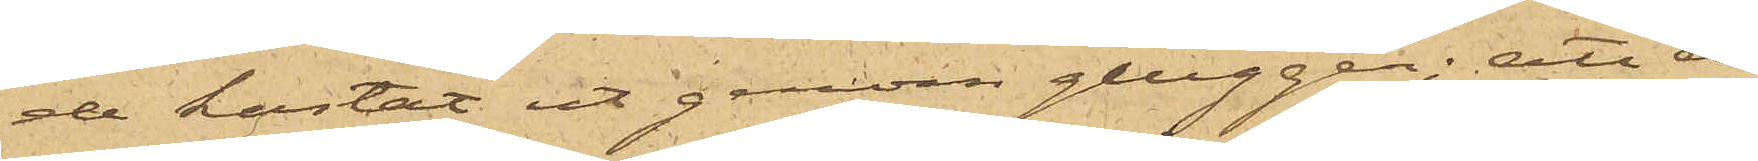de kastat ut genom gluggen; att de
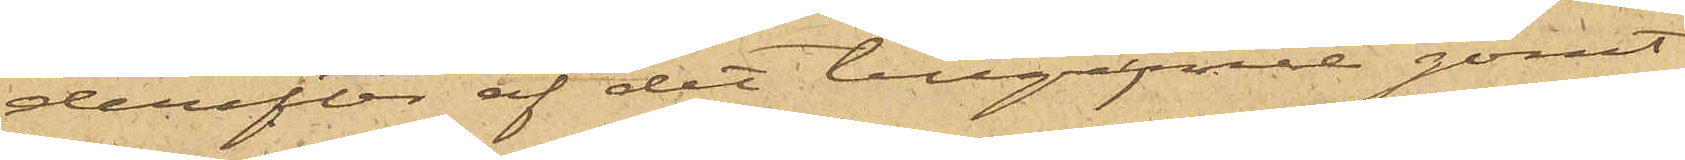derefter af det tillgrpne gömt
